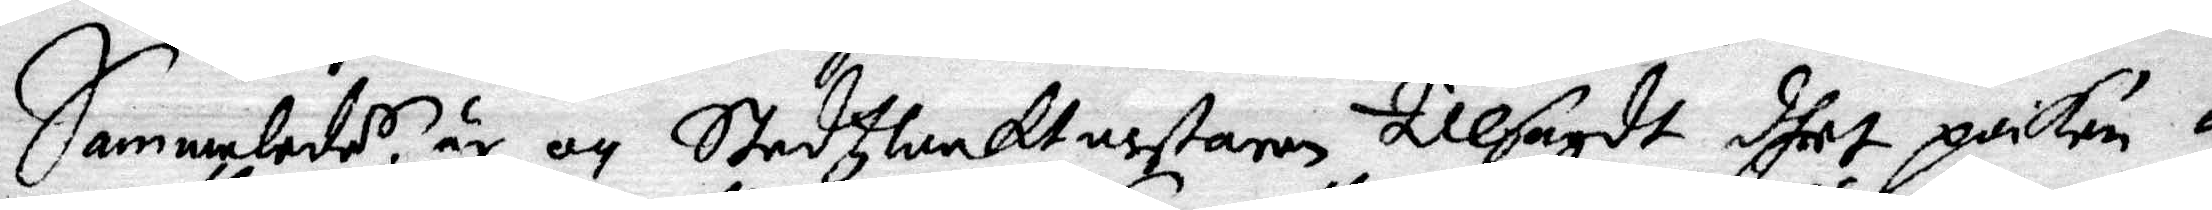Sammaledes är och Stadtzwaktmestaren tillsagdt dhet poiken 
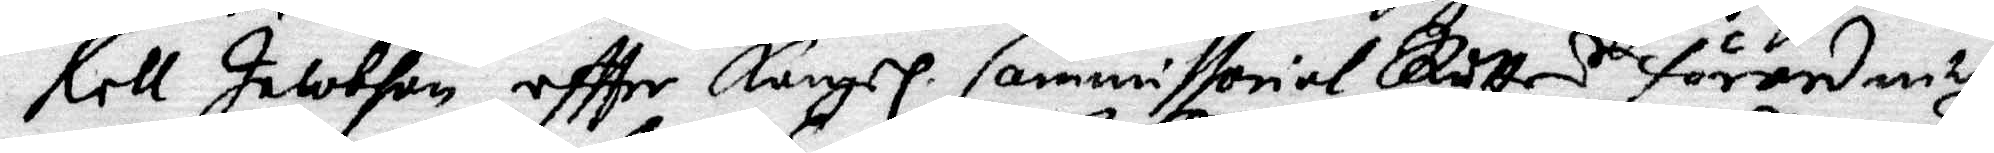kell Jacobson eftter Kongl. Commissorial Rätts förordningh g
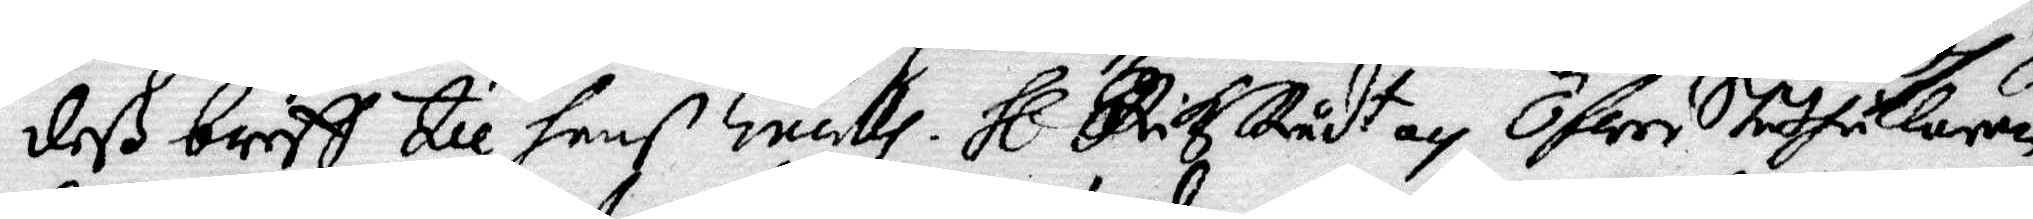deß breff till hans Excellh. Hl. RikzRådt och ÖfwerStåthållaren
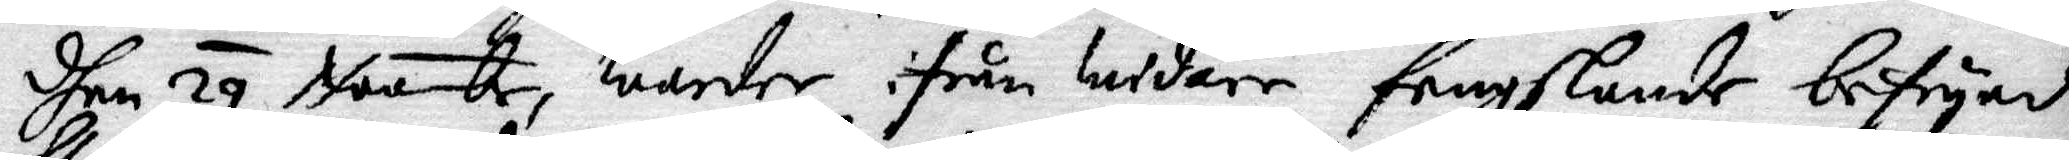dhen 29 Novemr, warder ifrån widare fengslande befryad
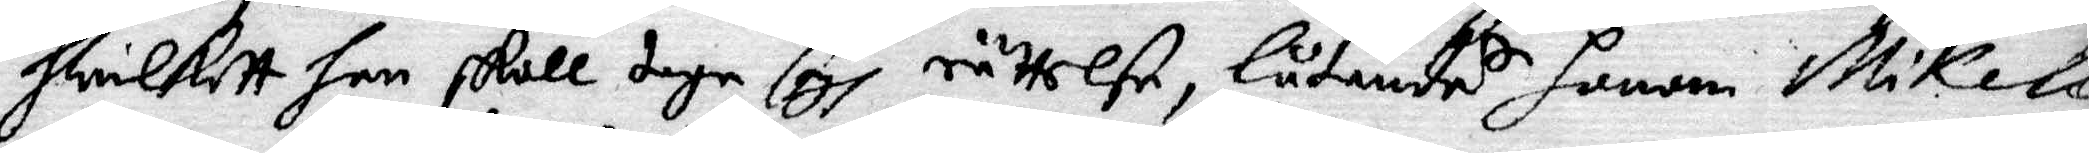hwilket han skall taga sigh rättelse, låtandes honom Mikell
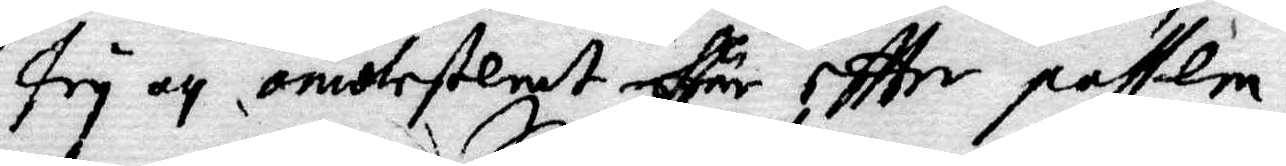fry och omotestemt effär eftter possen.
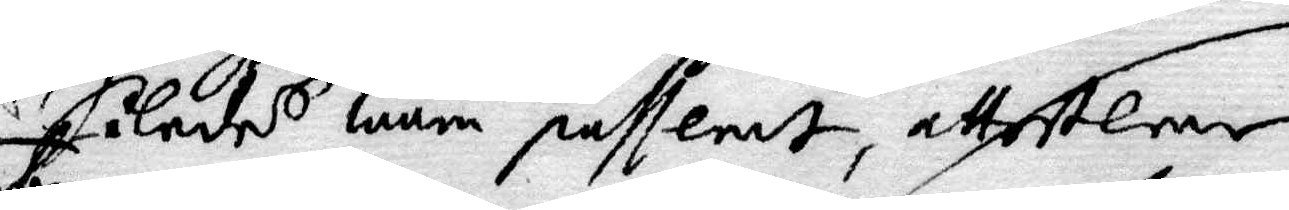Således ware passerdt, attesterar
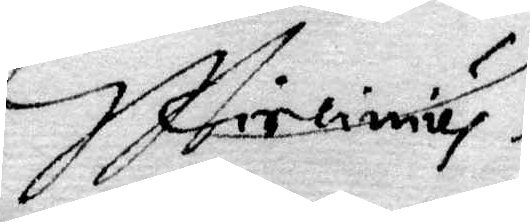G Hireimus
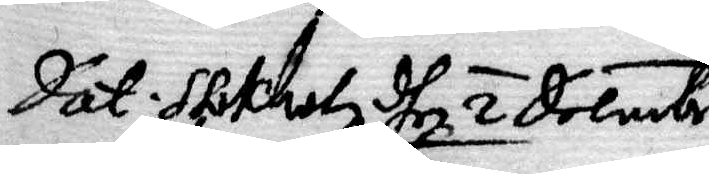Dat: Stokholm dhen 2 Decembr
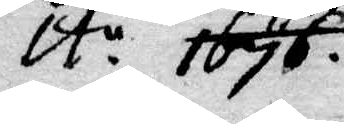A:o 1676
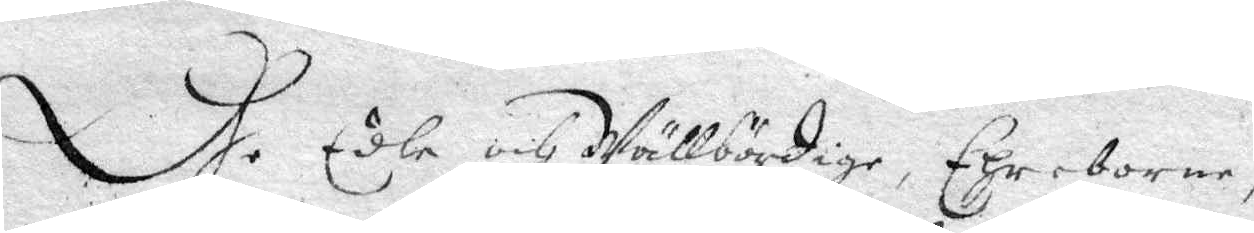Dhe Edle och Wällbördige, Ehreborne,
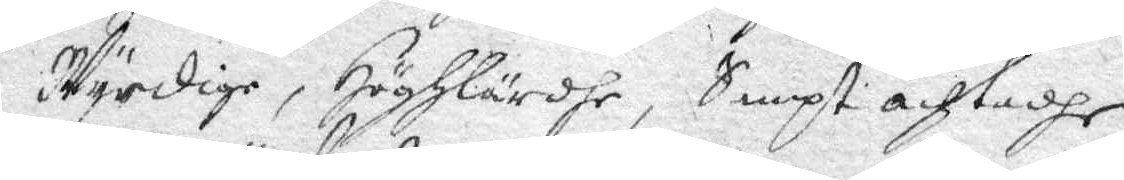Wyrdige, Höghlärdhe, Sampt achtadhe
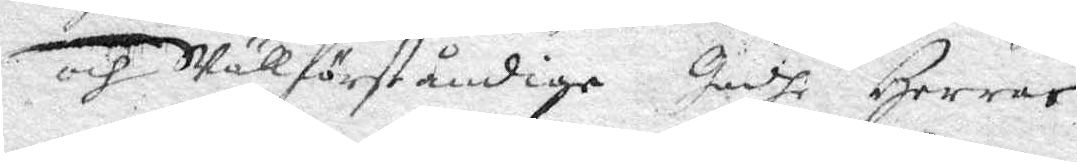och Wällförståndige Gudhi Herrar
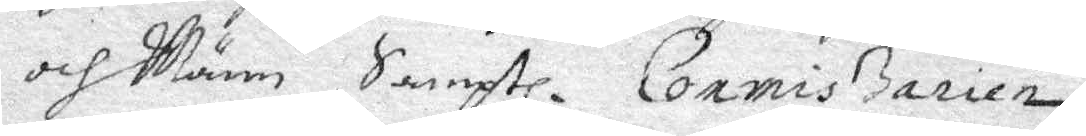och Männ, Samptl. Commissarier
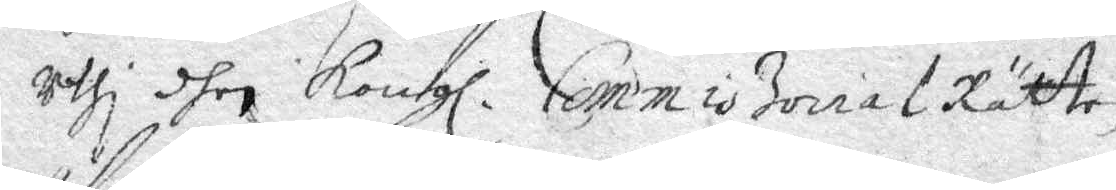uthi dhen Kongl. CommissorialRätten
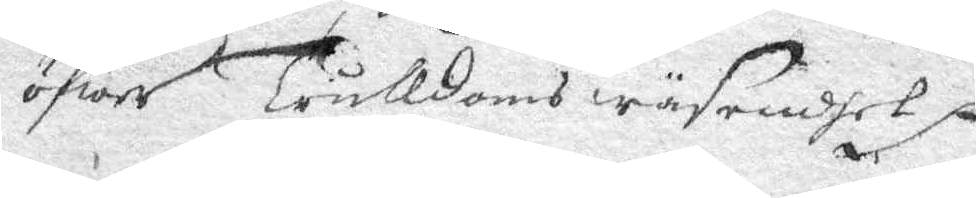Öfwer Trulldoms wäsendhet.
